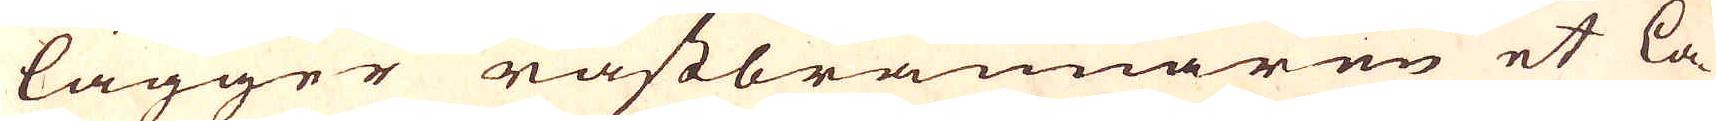lägger råstbrännaren et la-
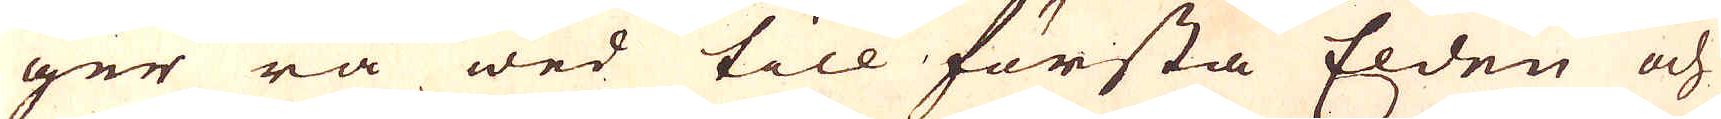ger rå wed till första Elden och
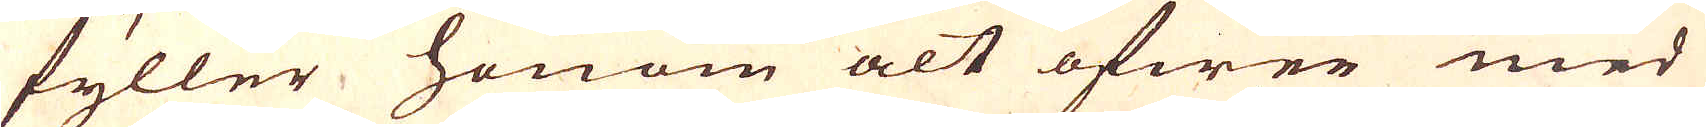fyller honom alt öfwer med
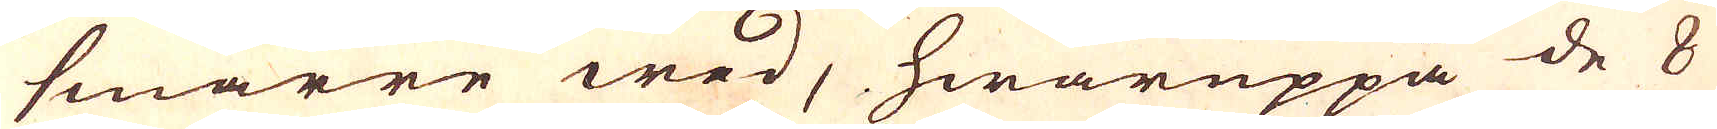smärre wed, hwaruppå de 8
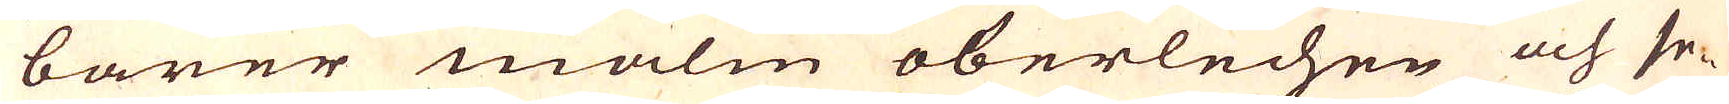barer malm oberlechen och se-
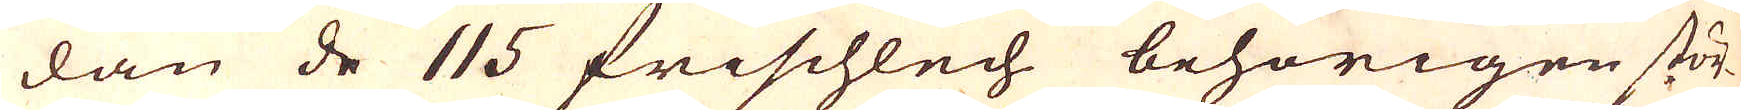dan de 115 frischlech behörigen stör-
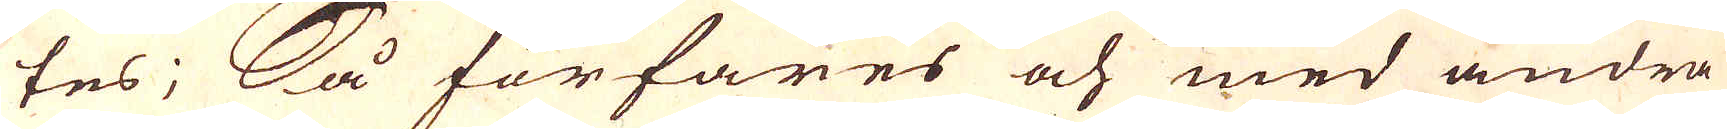tes; Så förfares och med andra
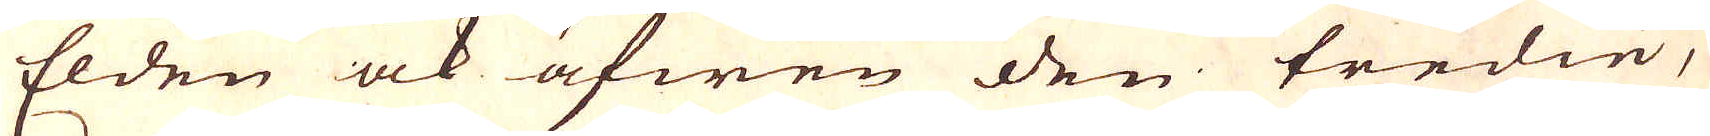Elden ock äfwen den tredie,
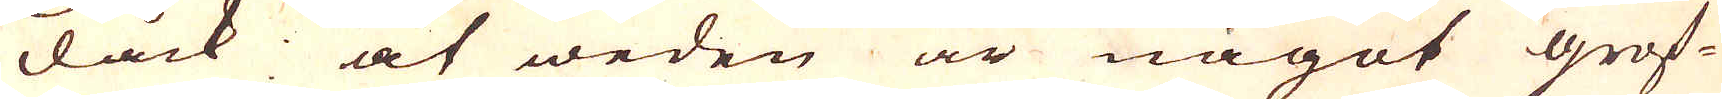dåck at weden är något grof-
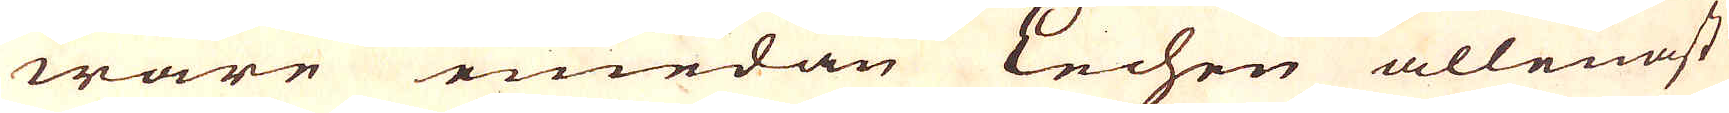ware emedan Lechen allenast
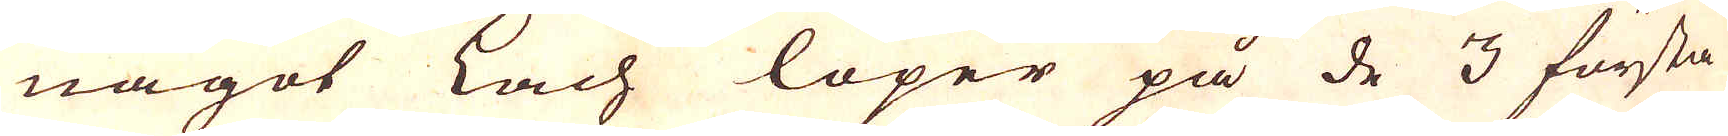något Lach löper på de 3 första
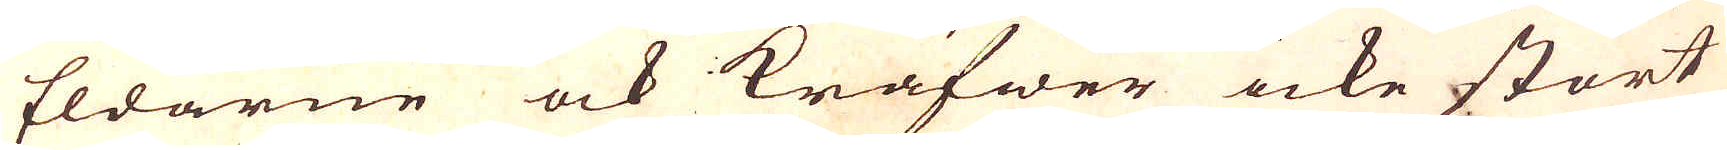Eldarne ock kräfwer icke stort
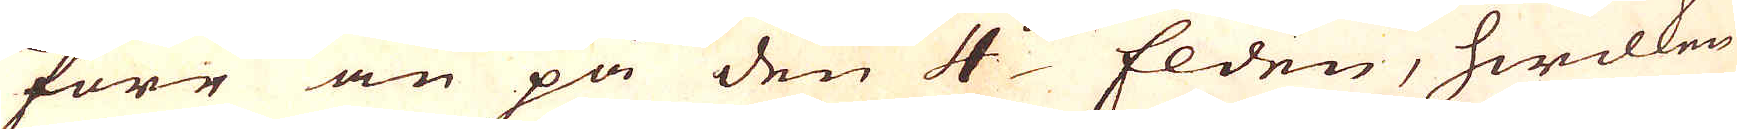förr än på den 4:de Elden, hwilken
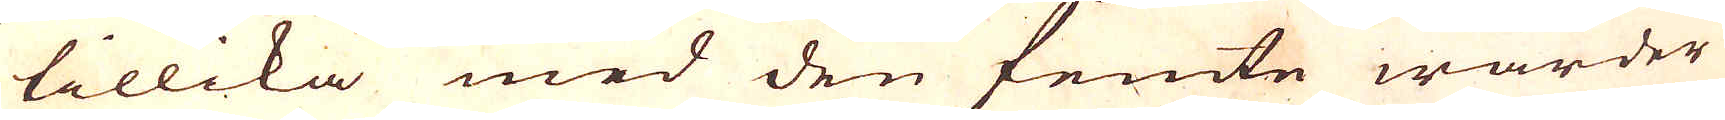tillika med den femte warder
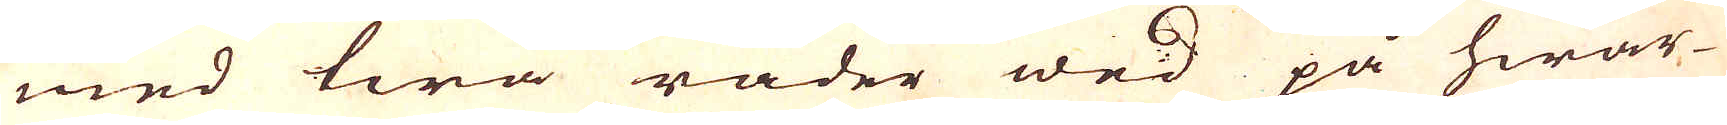med twå rader wed på hwar-
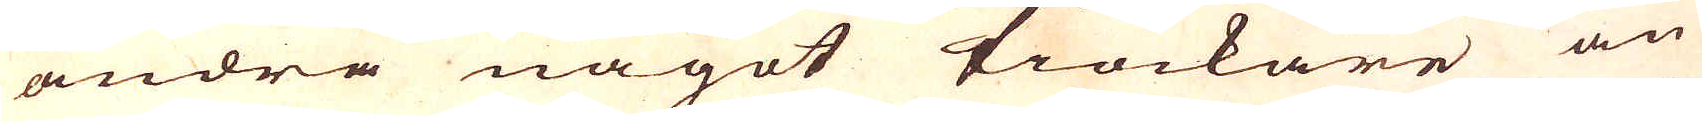andra något tiockare än
